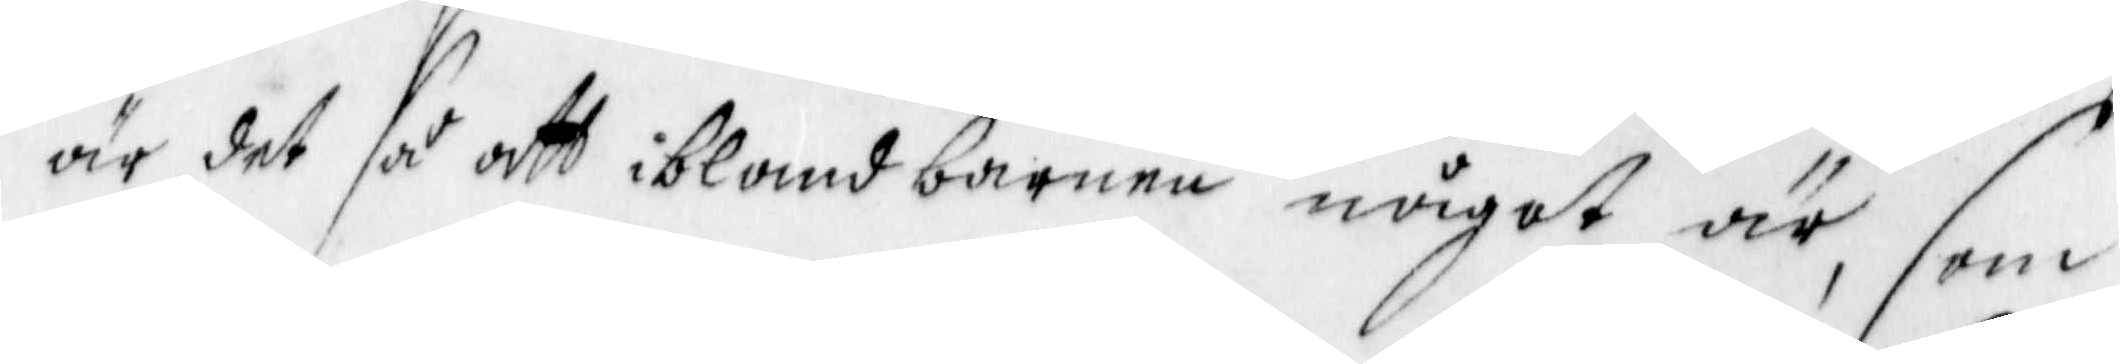är det så att ibland barnen något är, som
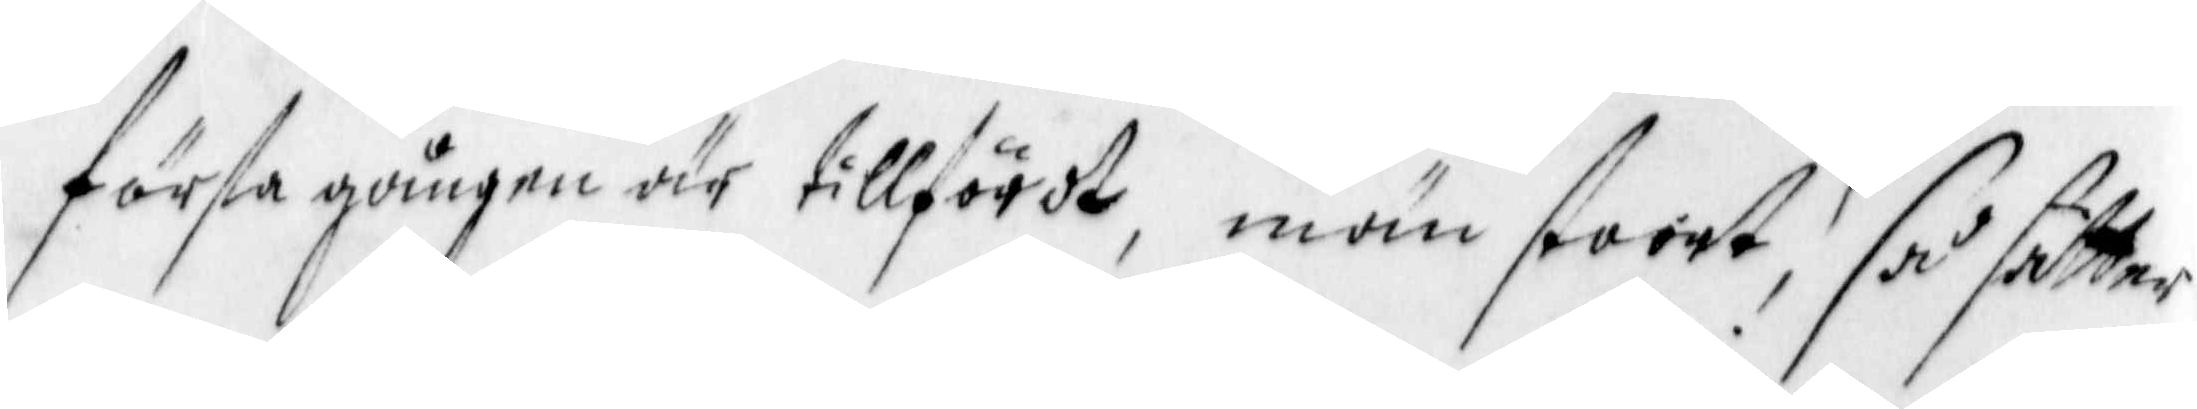första gången är tillfördt, män stoort, så sätter
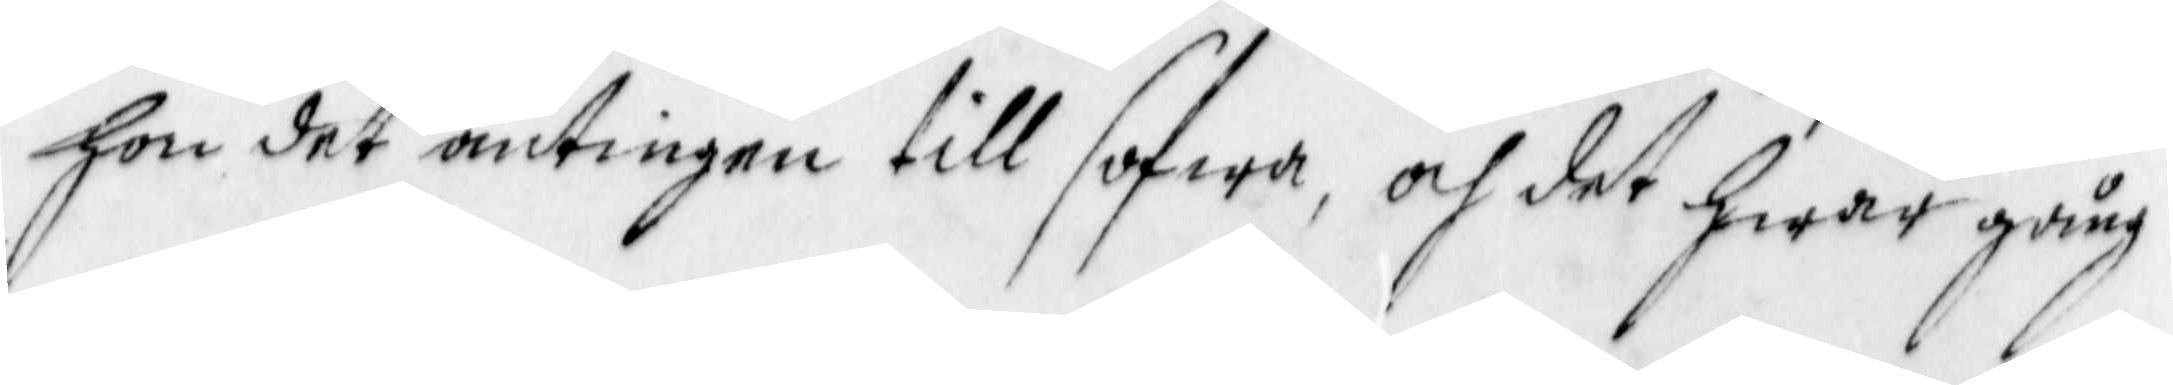hon det antingen till sofwa, och det hwar gång
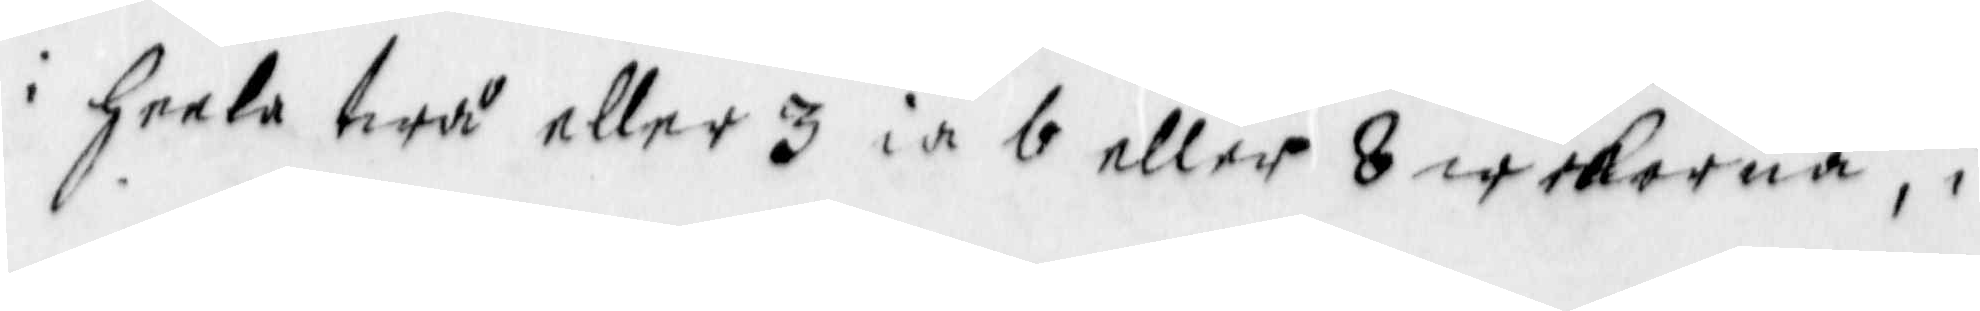i heela twå eller 3 ia 6 eller 8 wekorna, i
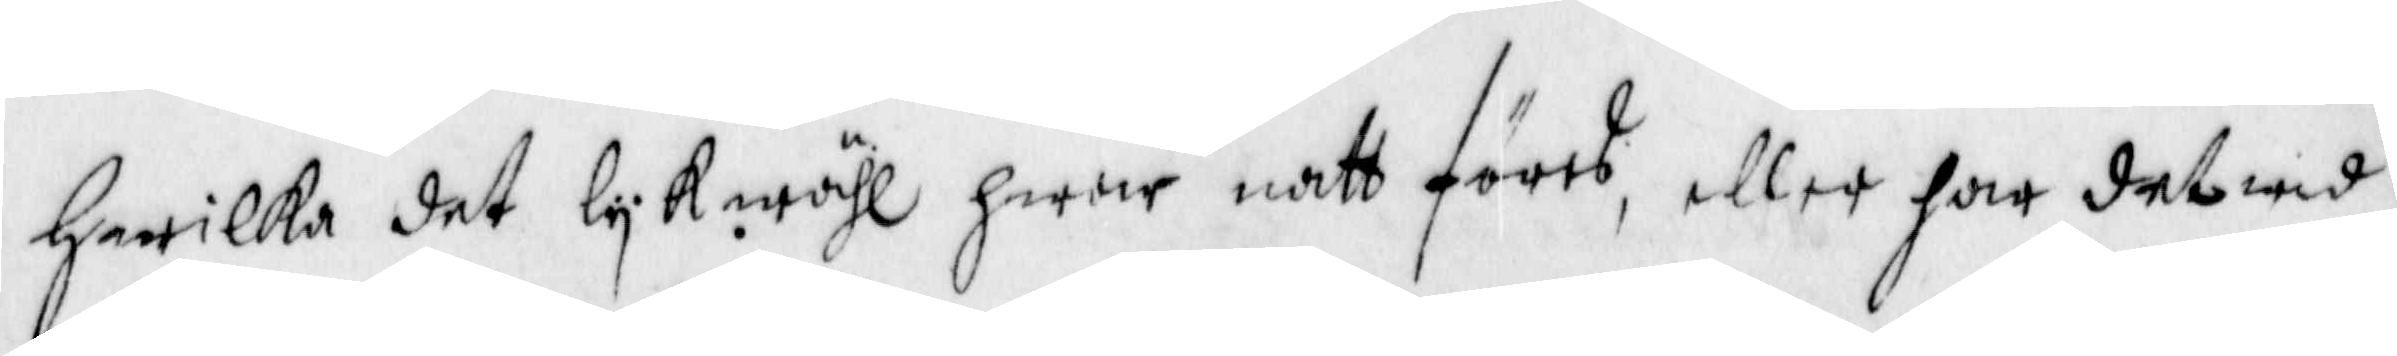hwilka det lykwähl hwar natt föres, eller har det wid
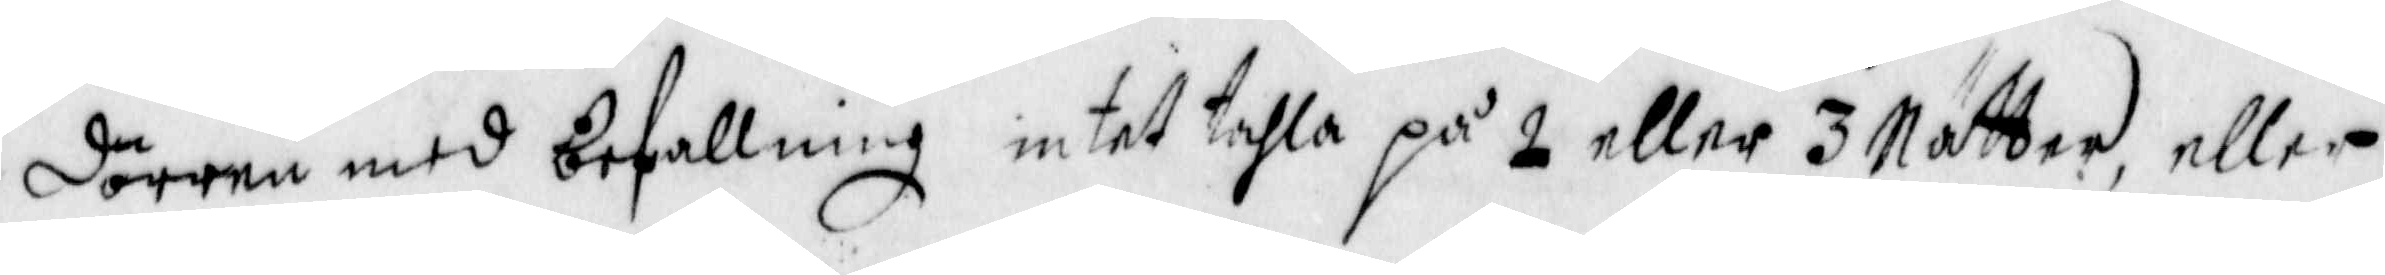dörren med befallning intet tahla på 2 eller 3 Nätter, eller
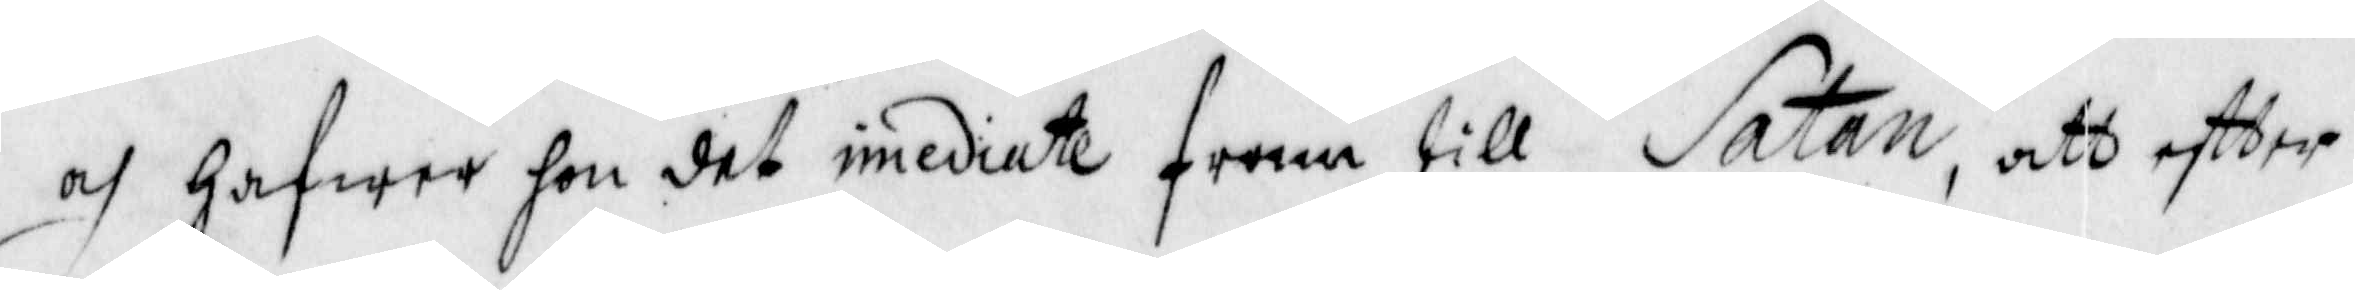och hafwer hon det imediate fram till Satan, att effter
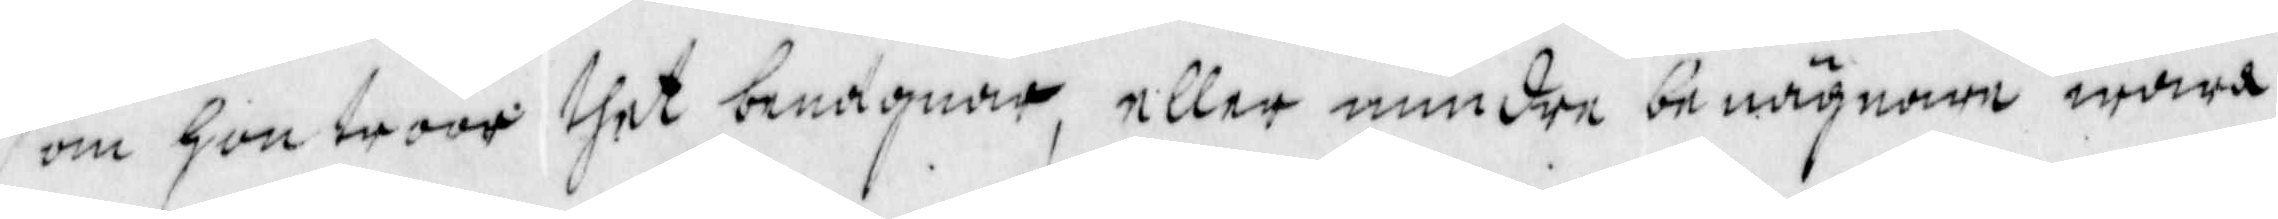som hon troor thet benägnar, eller mindre benägnare wara
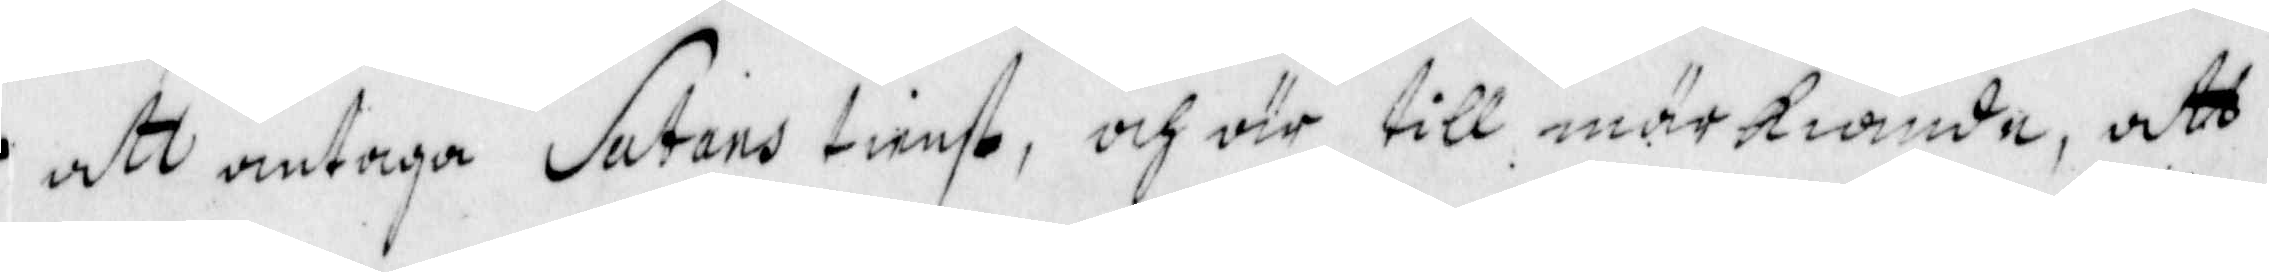att antaga Satans tienst, och är till märkiande, att
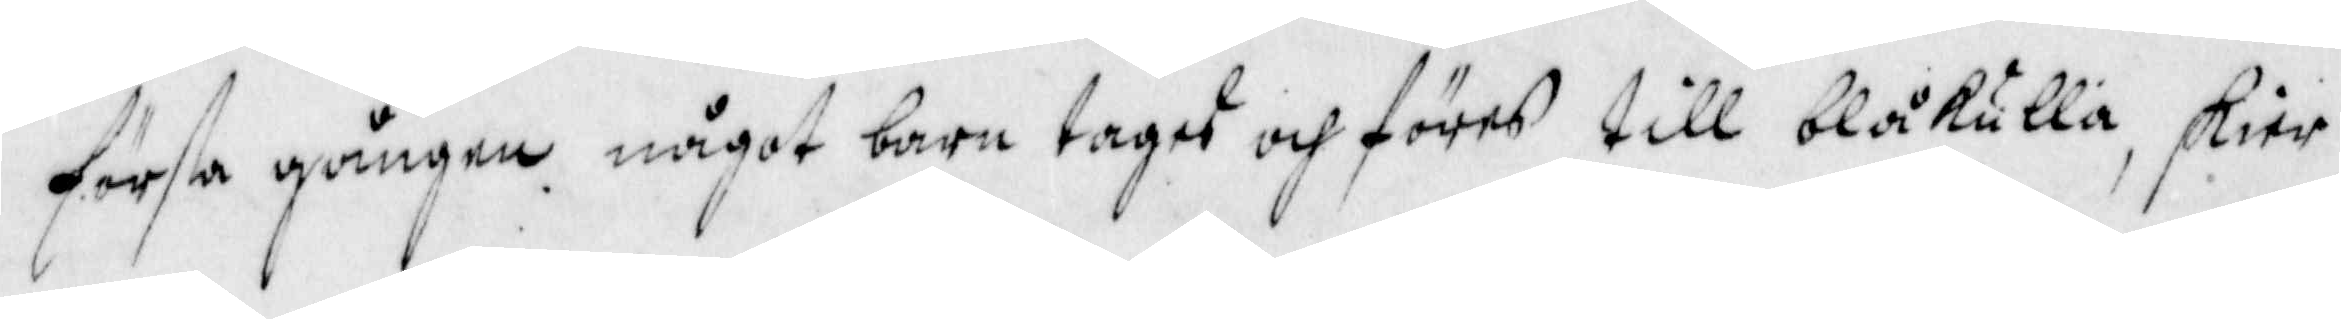första gången något barn tages och föres till blåkulla, skier
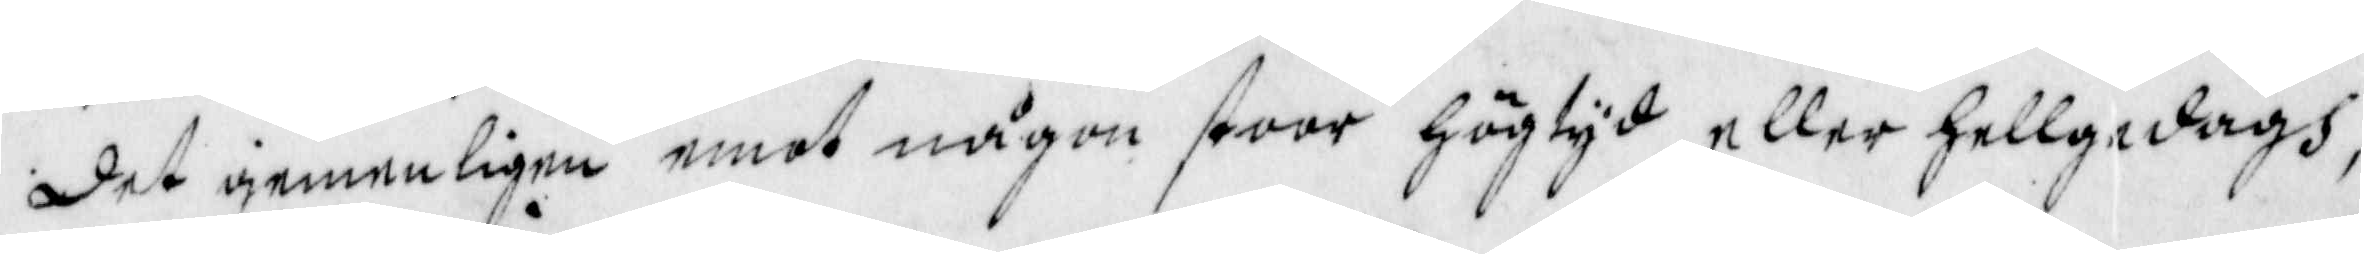det gemenligen emot någon stoor högtyd eller Hellgedagh,
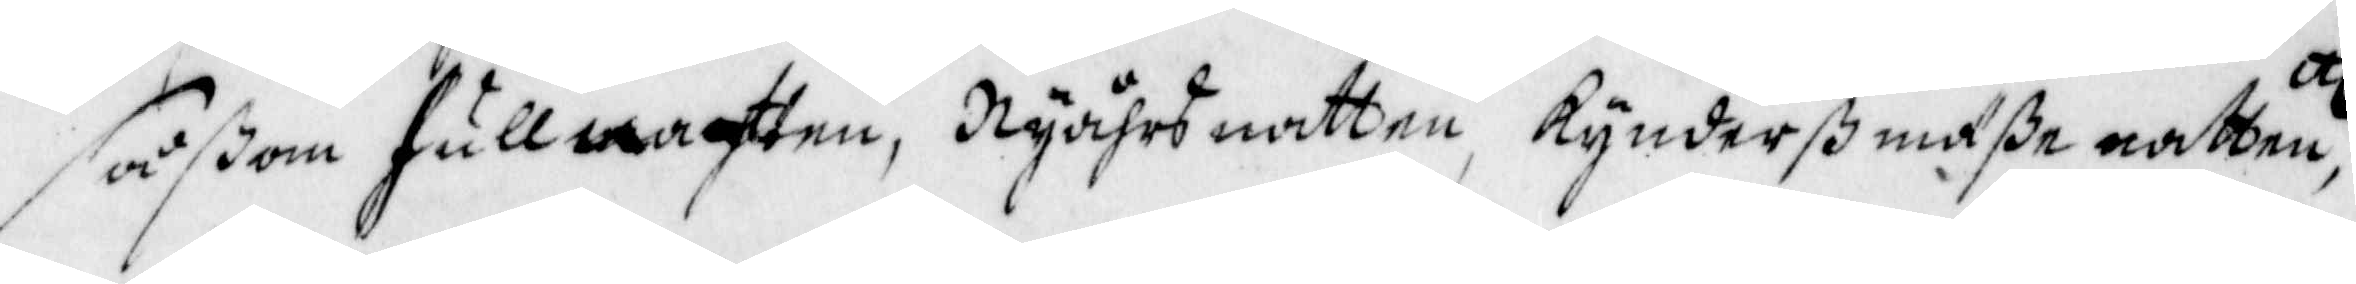såßom fullnattten, Nyåhrs natten, Kynderß mäße natten, etc
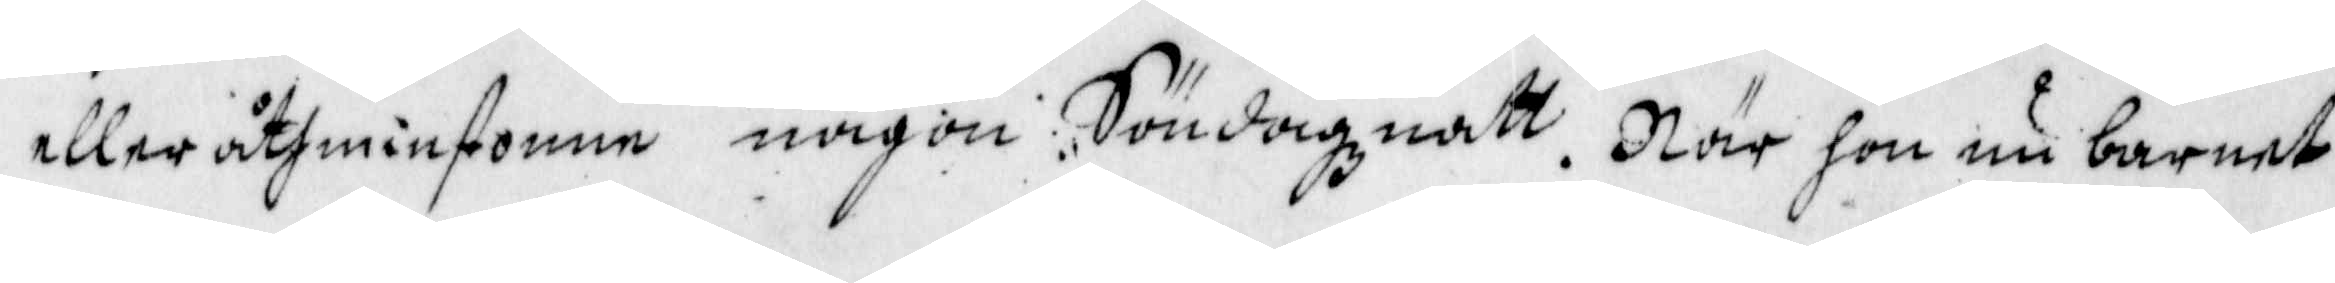eller åthminstonne någon Söndagznatt. När hon nu barnet
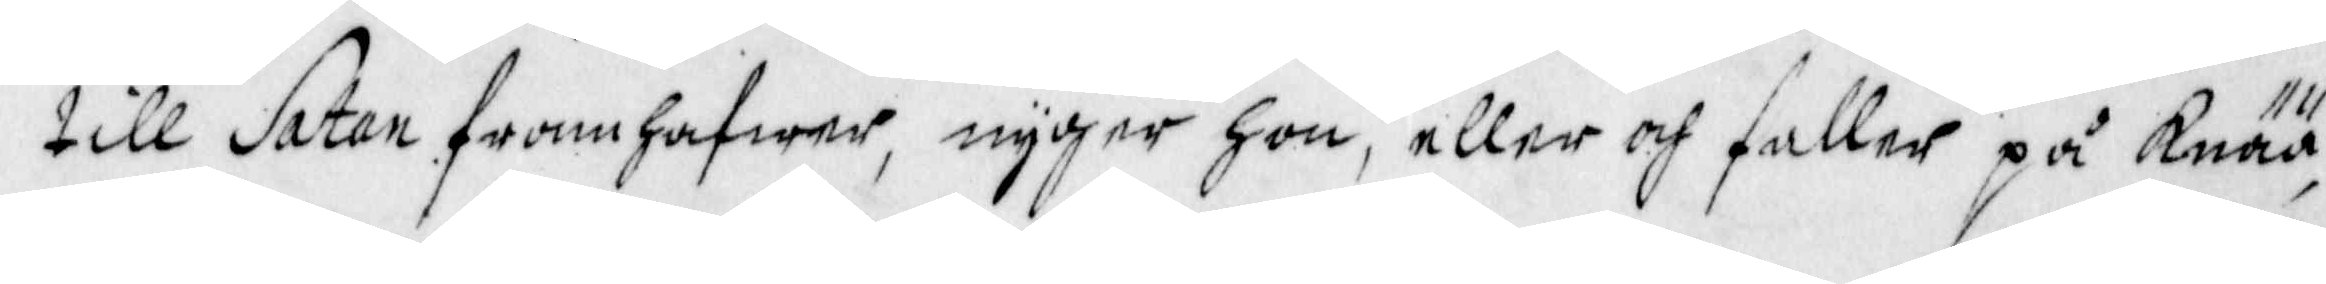till Satan framhafwer, nyger hon, eller och faller på Knää,
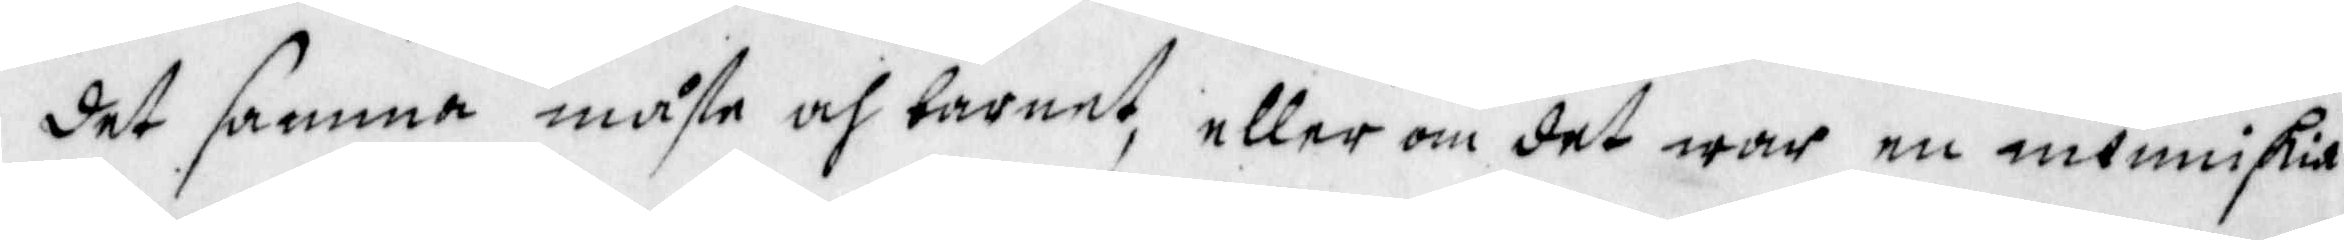det samma måste och barnet, eller om det war en menniskia
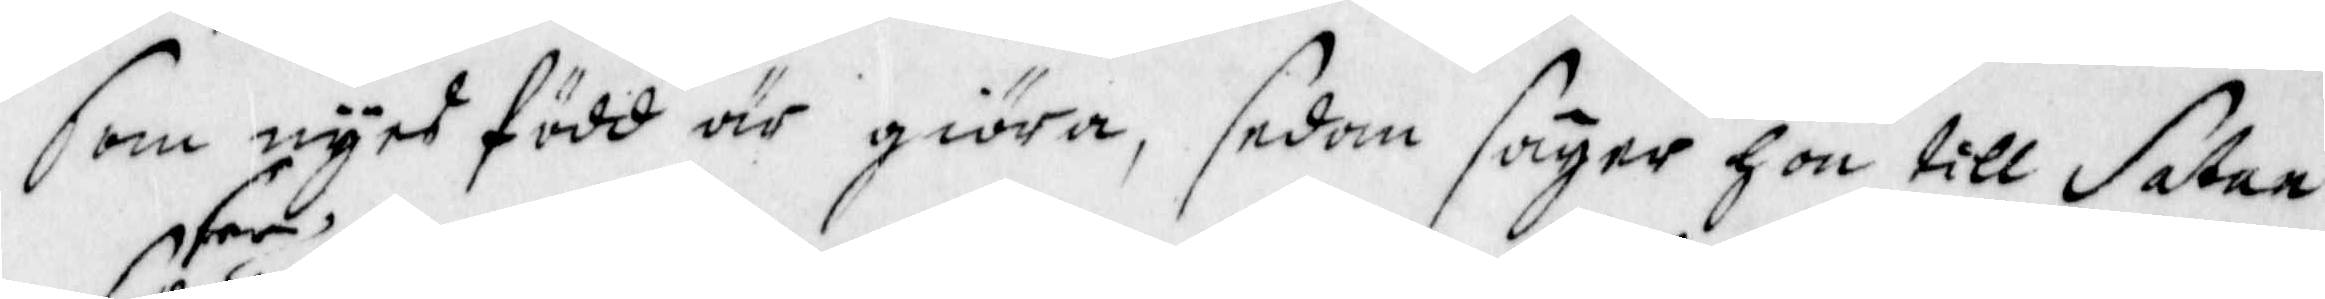som nyes född är giöra, sedan säger hon till Satan
